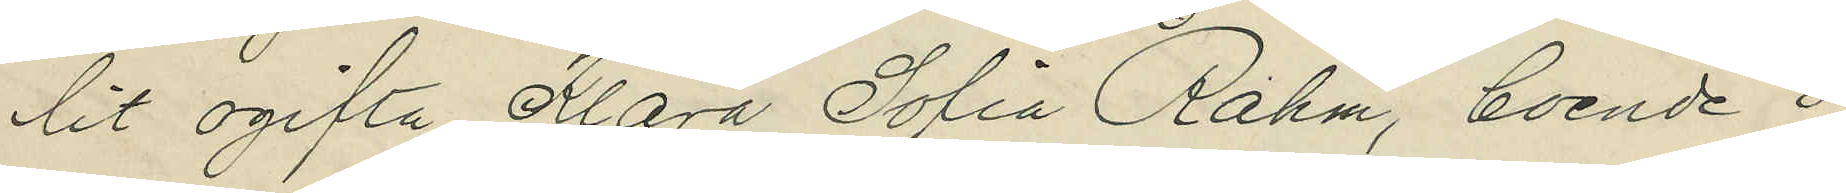lit ogifta Klara Sofia Rahm, boende i
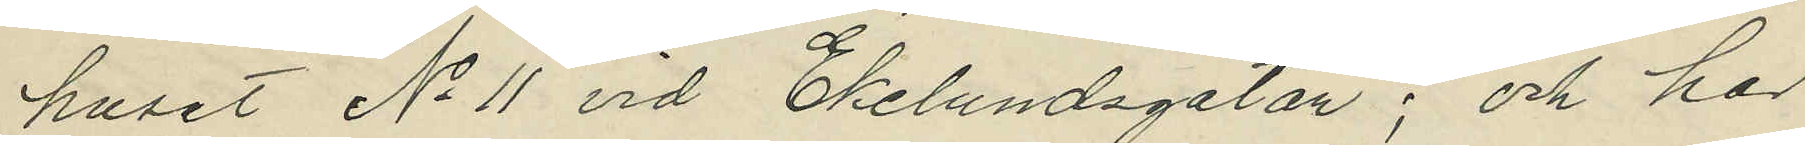huset No 11 vid Ekelundsgatan; och hos
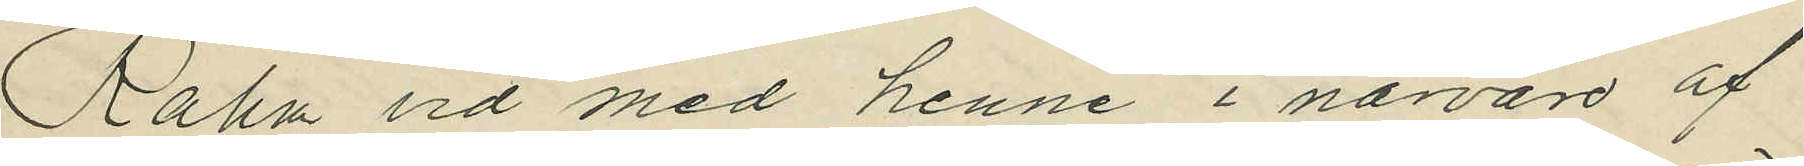Rahm vid med henne i nävaro af
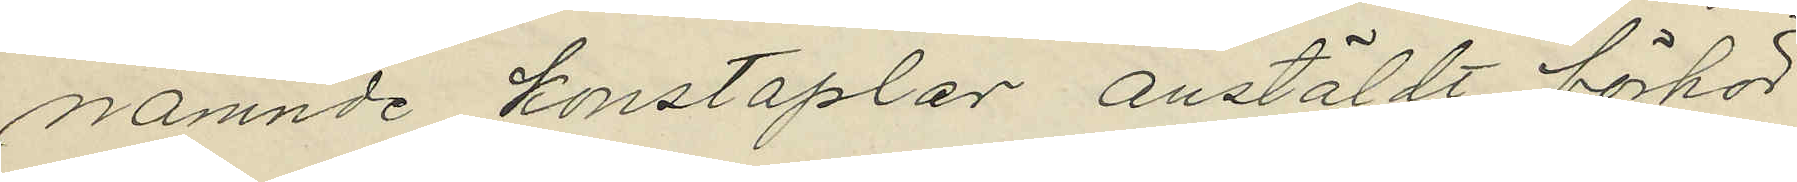nämnde konstaplar anstäldt förhör
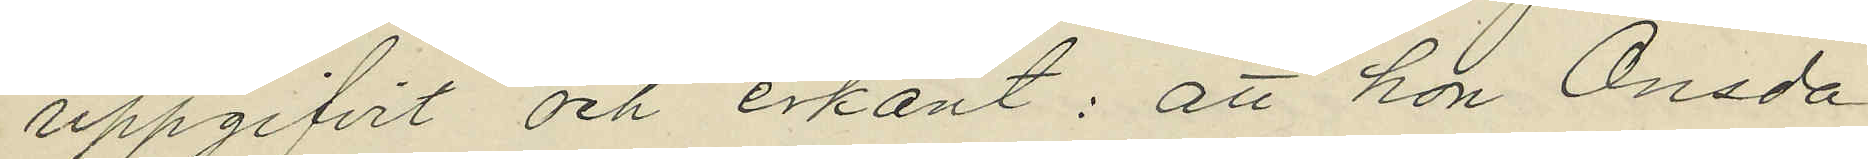uppgifvit och erkänt: att hon Onsda¬
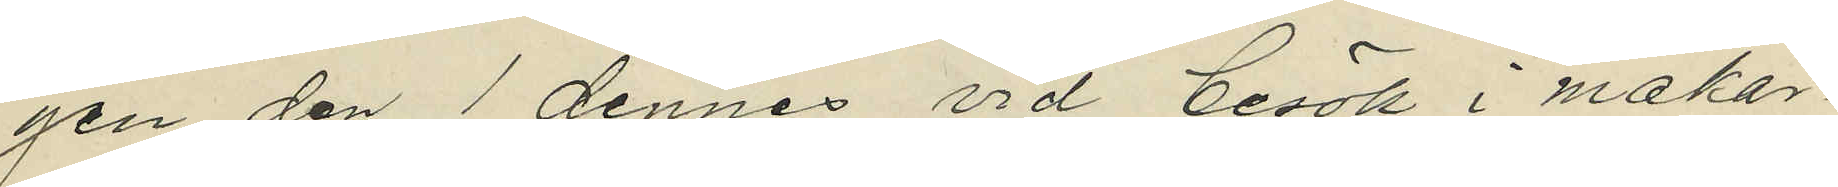gen den 1 dennes vid besök i makar¬
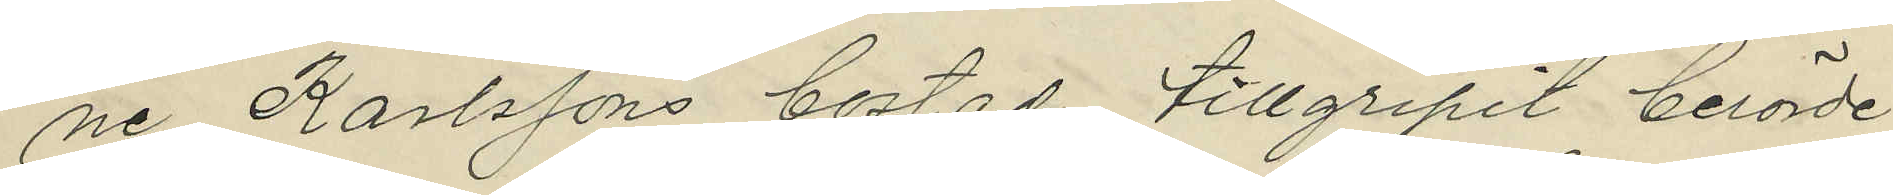ne Karlssons bostad tillgripit berörde
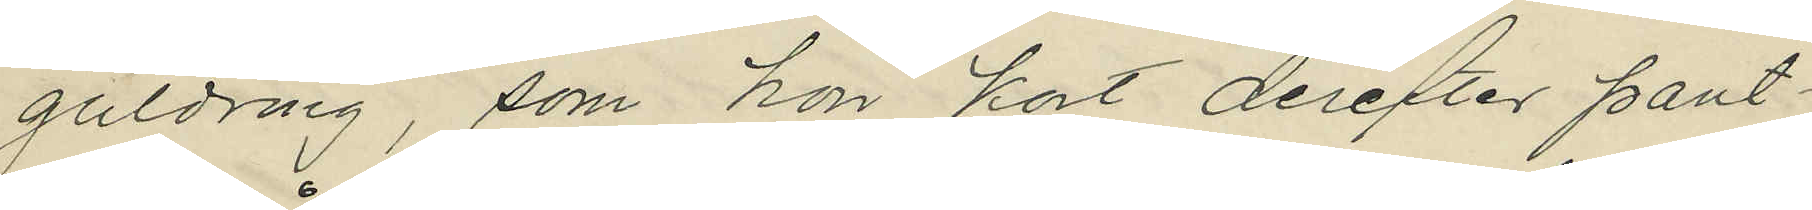guldring, som hon kort derefter pant¬
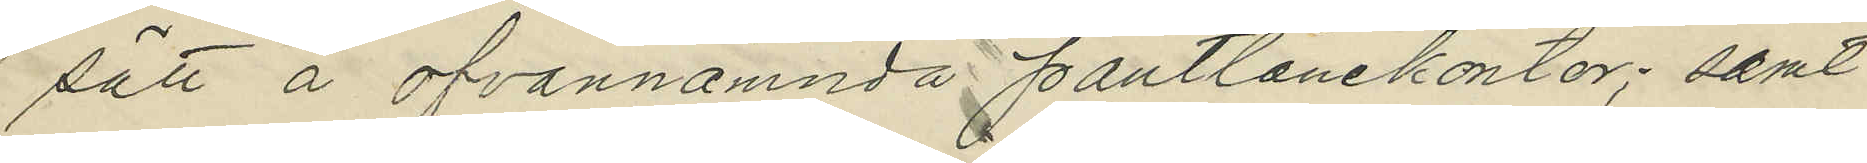sätt å ofvannämnda pantlånekontor; samt
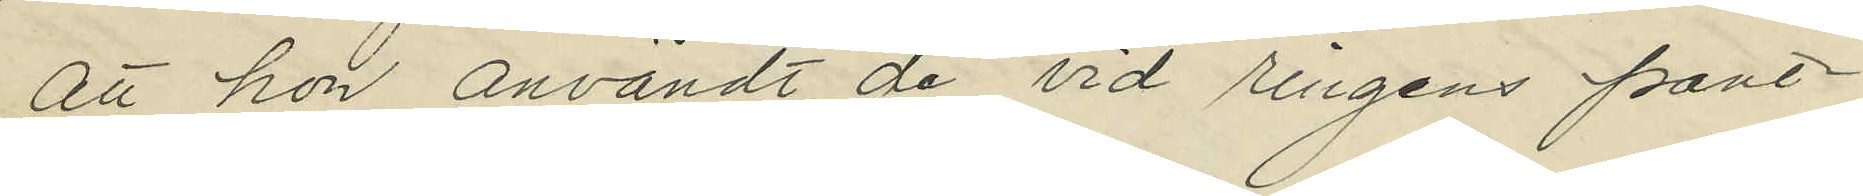att hon användt de vid ringens pant¬
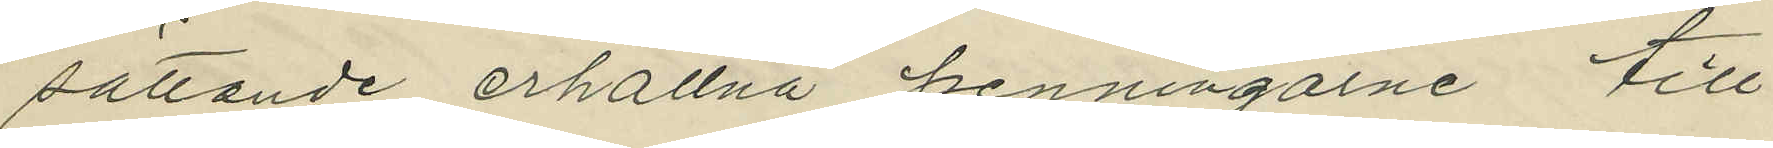sättande erhållna penningarne till
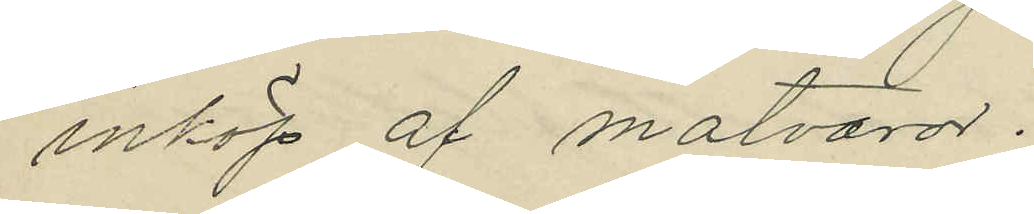inköp af matvaror.
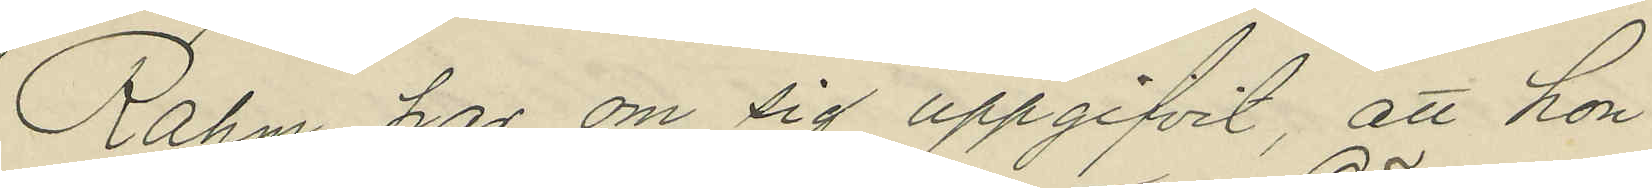Rahm har om sig uppgifvit, att hon
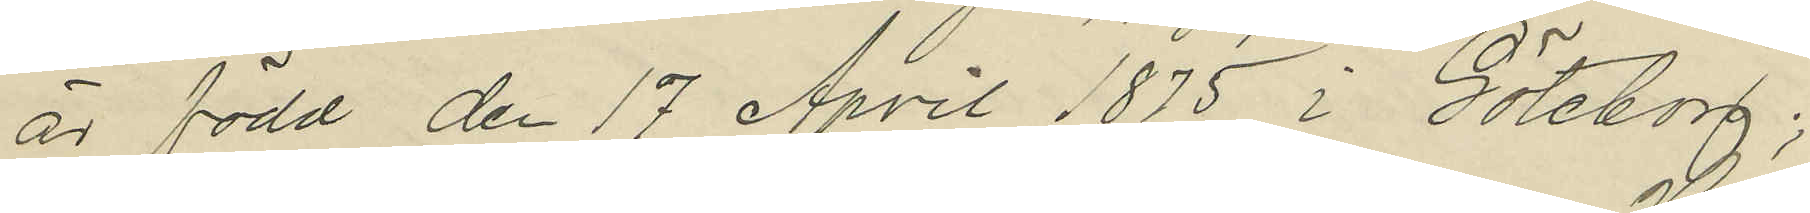är född den 17 April 1875 i Göteborg;
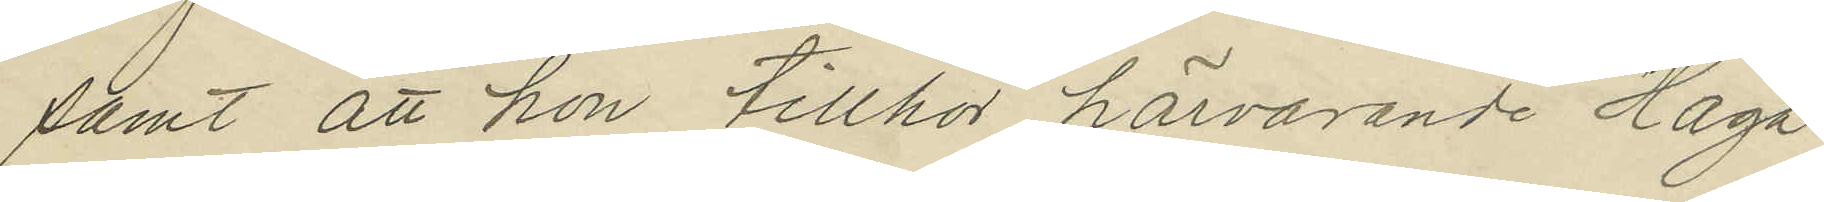samt att hon tillhör härvarande Haga
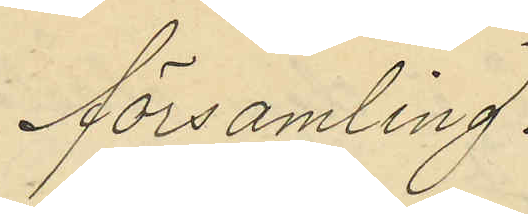församling.
